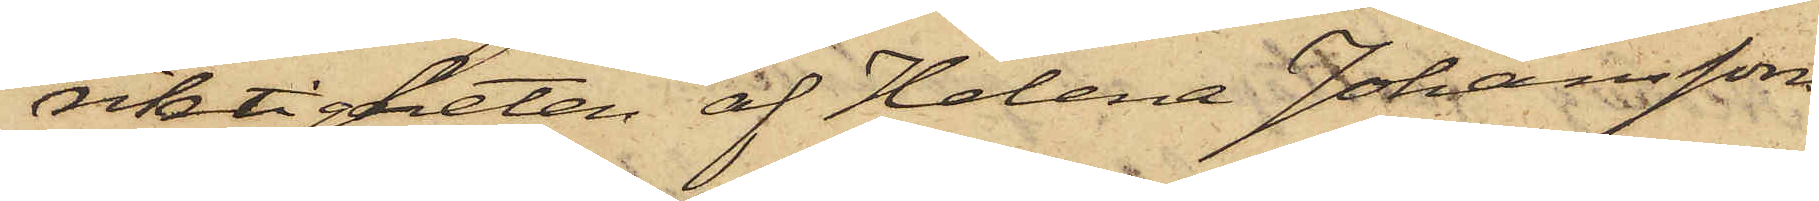riktigheten af Helena Johanssons
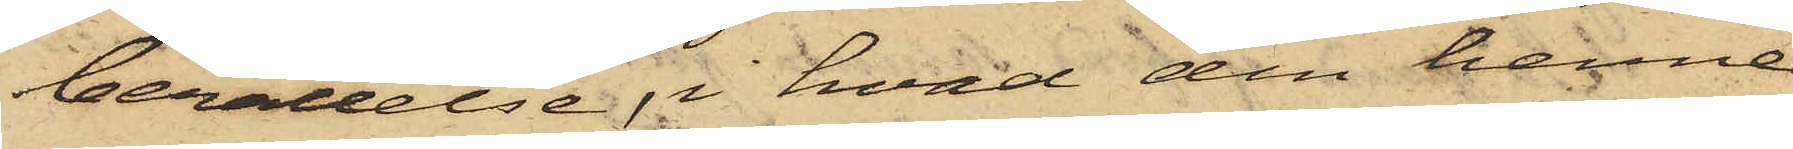berättelse, i hvad den henne
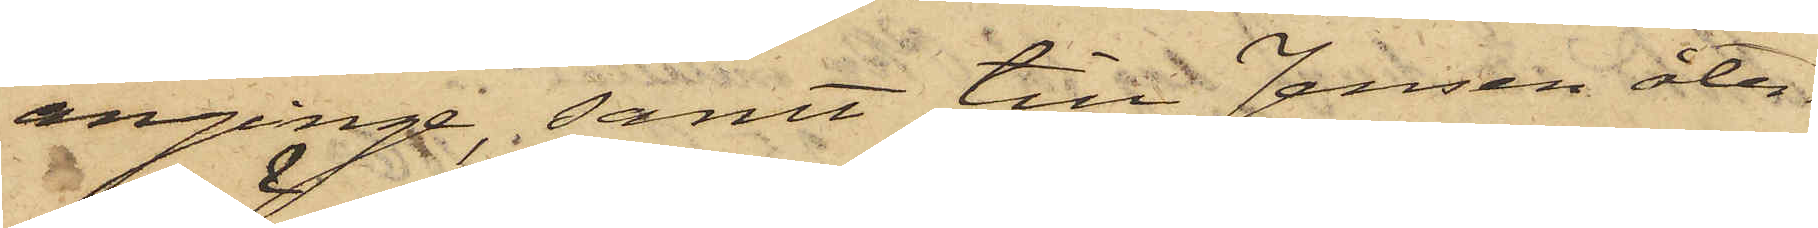anginge, samt till Jensen åter¬
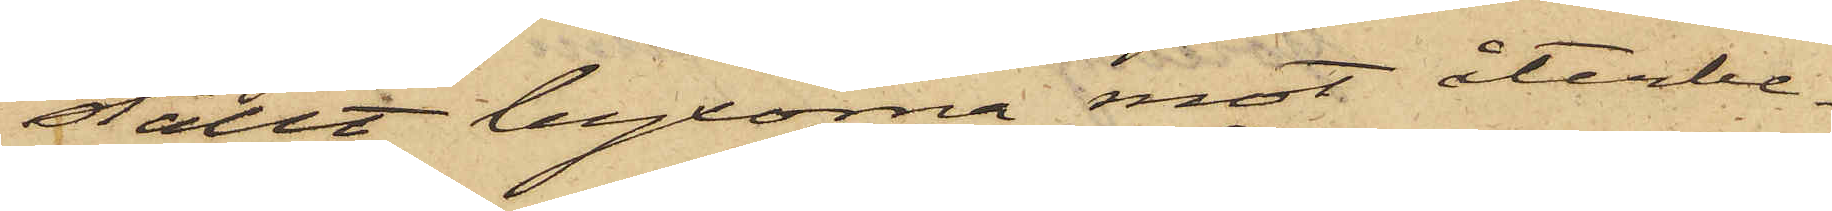ställt byxorna mot återbe¬
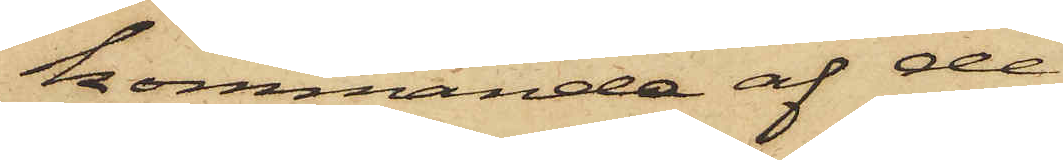kommande af de
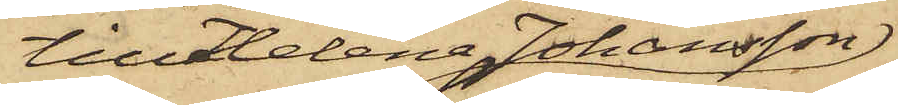till Helena Johansson
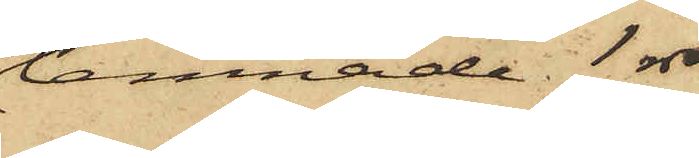lemnade 1 rdr
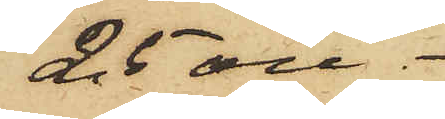25 öre.
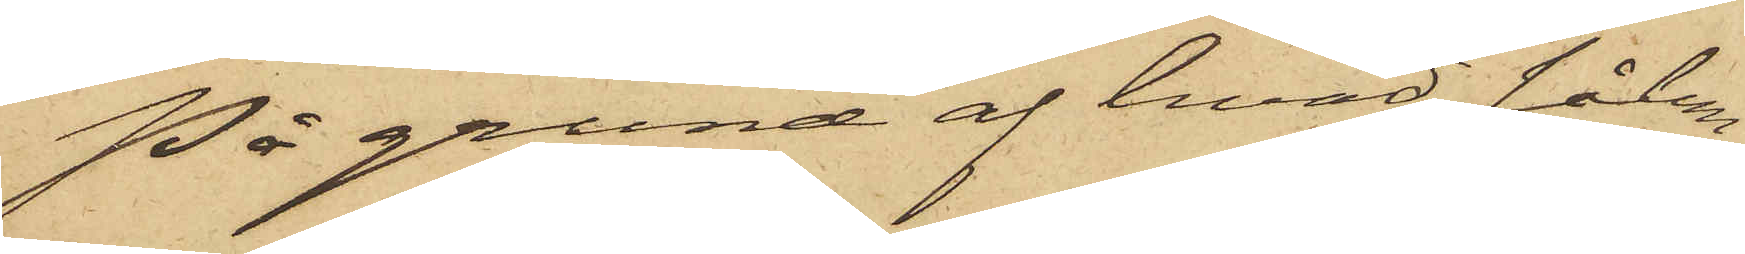På grund af hvad sålun¬
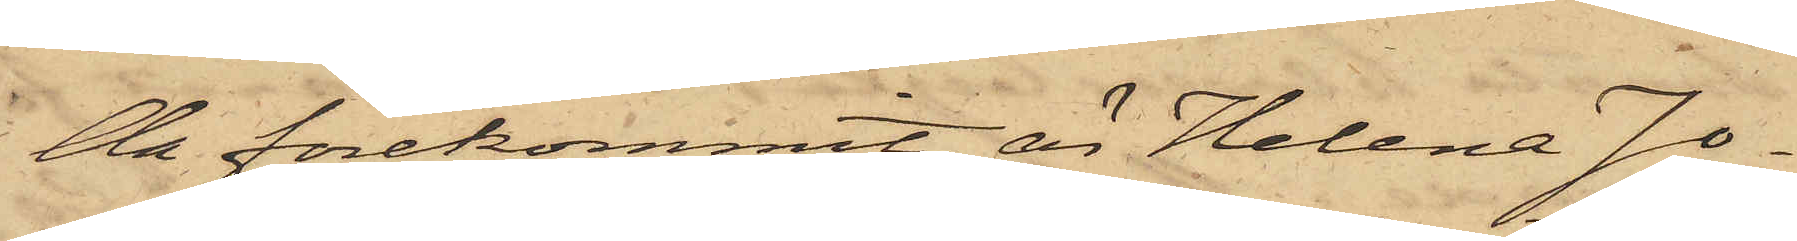da förekommit, är Helena Jo¬
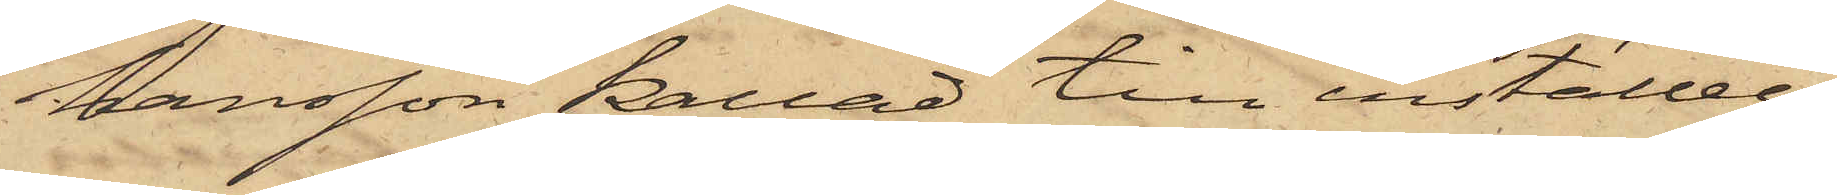hansson kallad till inställel¬
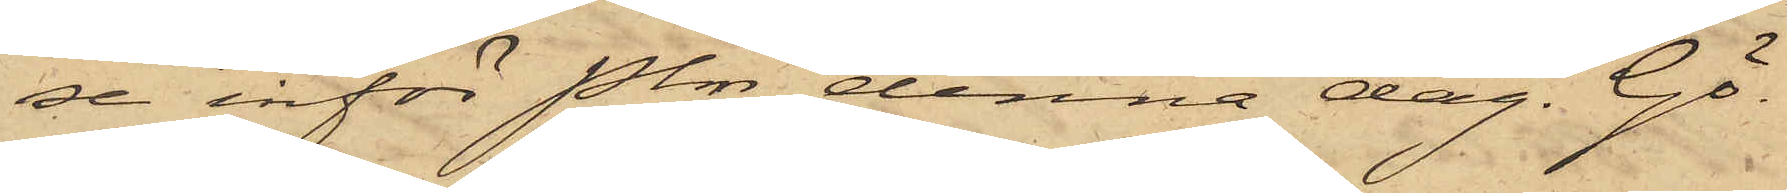se inför Pkn denna dag. Gö¬
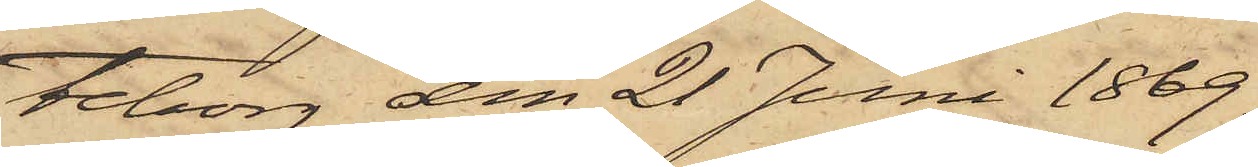teborg den 21 Juni 1869.
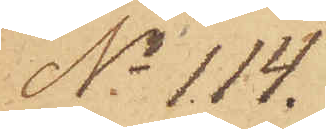No 114.
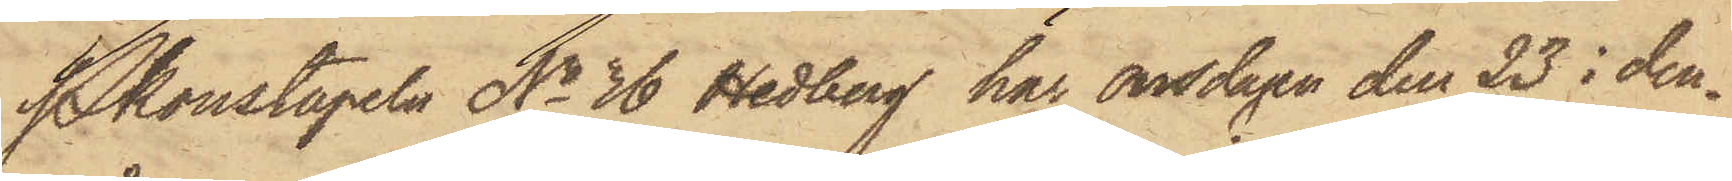Pkonstapeln No 36 Hedberg har onsdagen den 23 i den¬
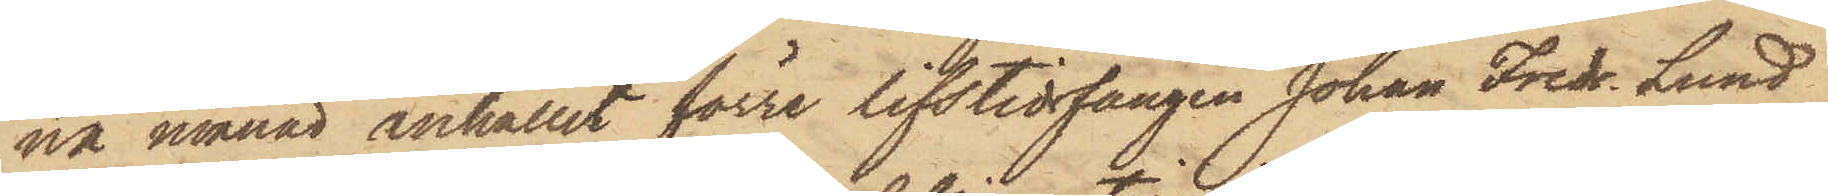na månad anhållit förre lifstidsfången Johan Fredr. Lund
